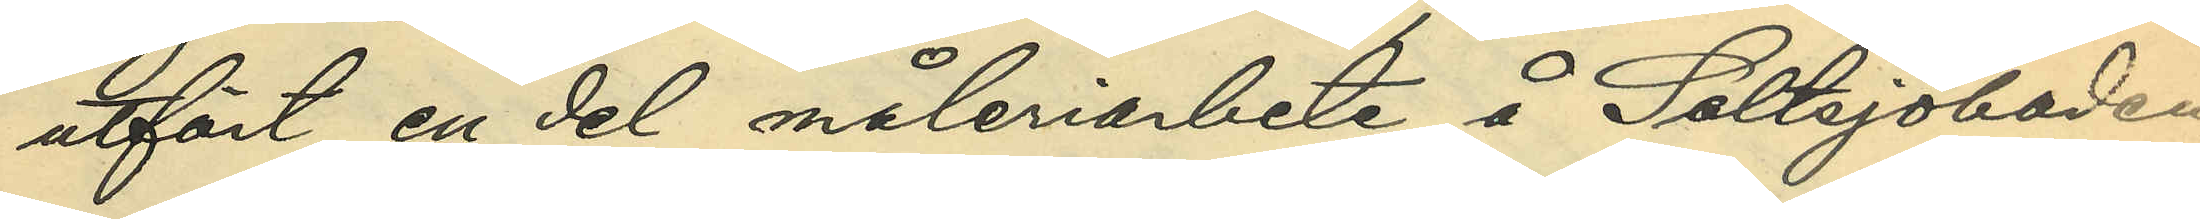utfört en del måleriarbete å Saltsjöbaden;
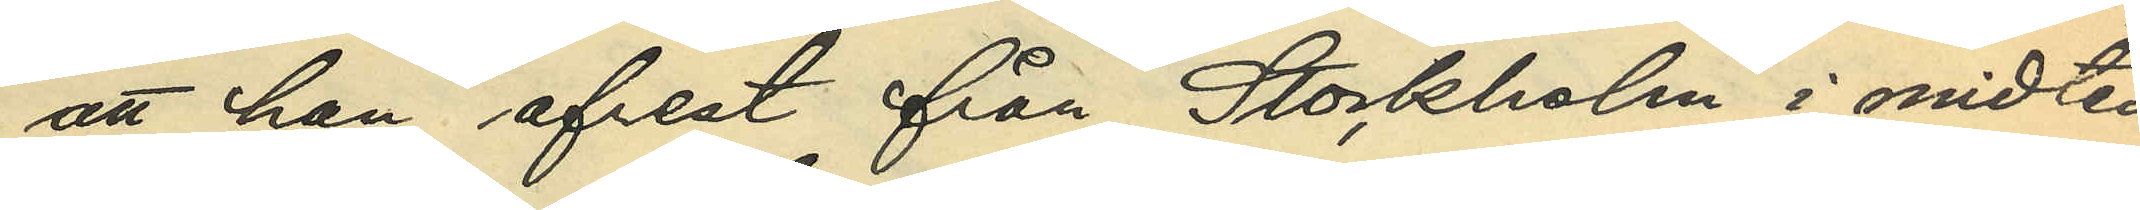att han afrest från Stockholm i midten
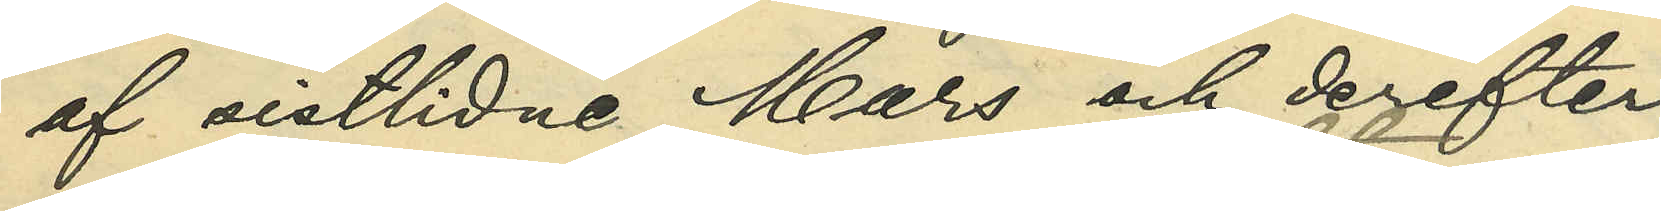af sistlidne Mars och derefter
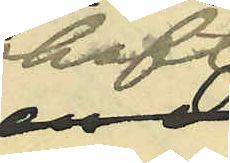haft
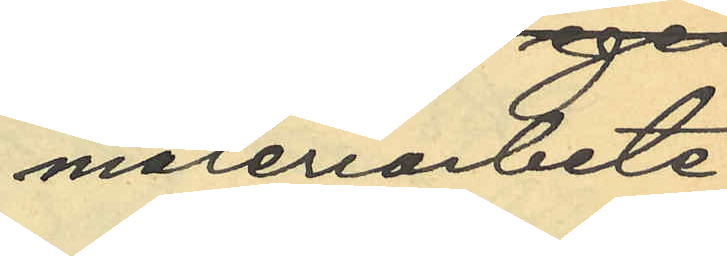måleriarbete
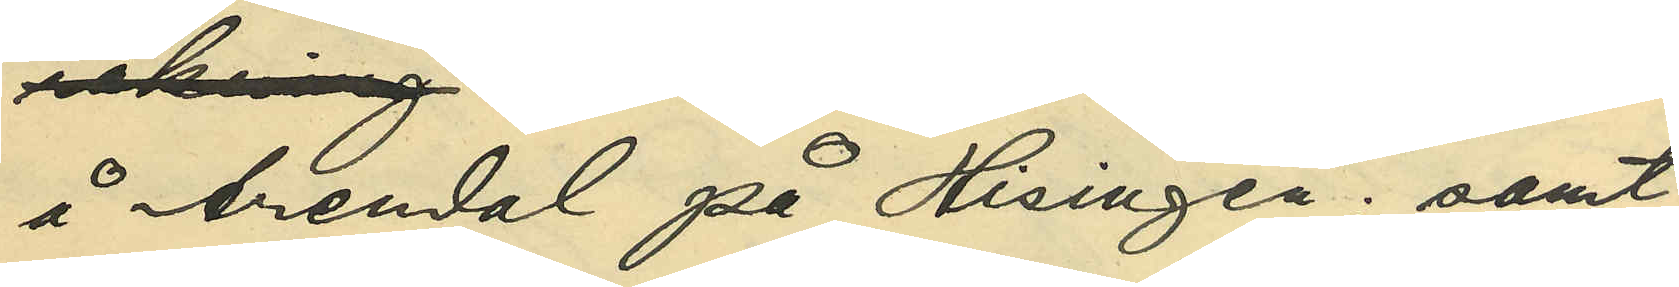å Arendal på Hisingen; samt
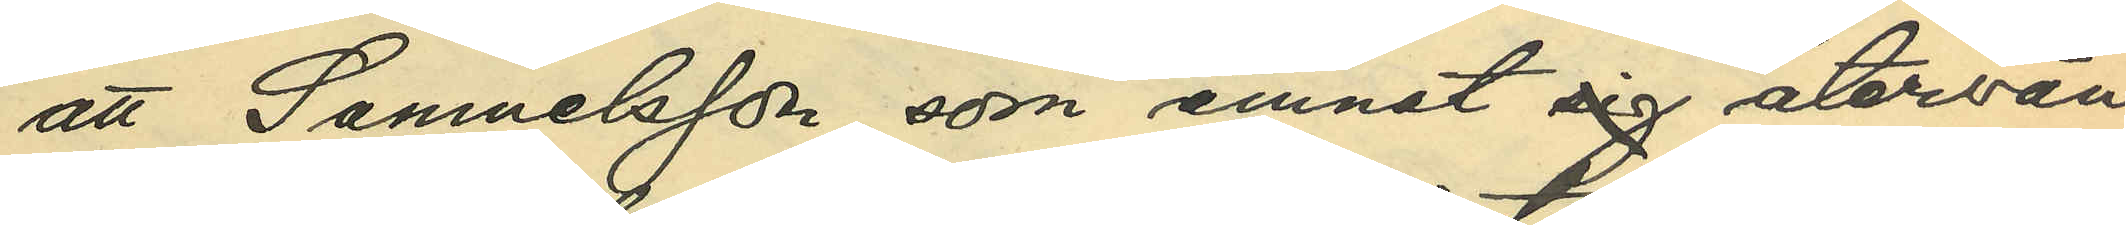att Samuelsson, som ämnat sig återvän¬
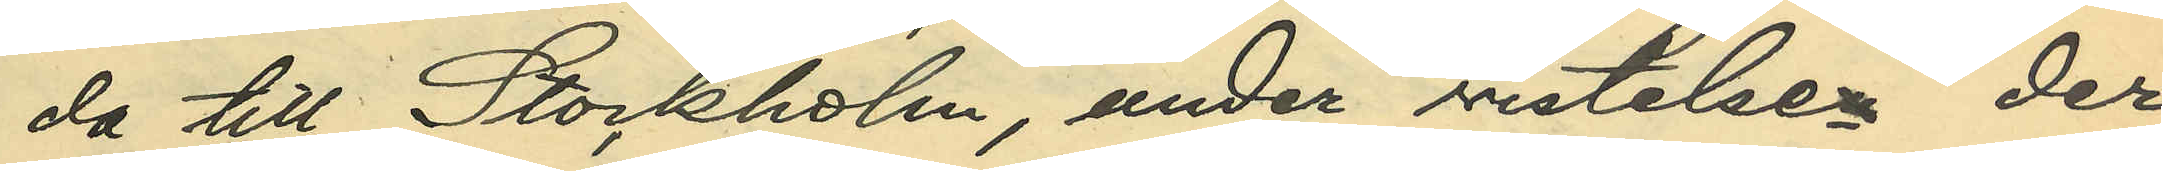da till Stockholm, under vistelsen der
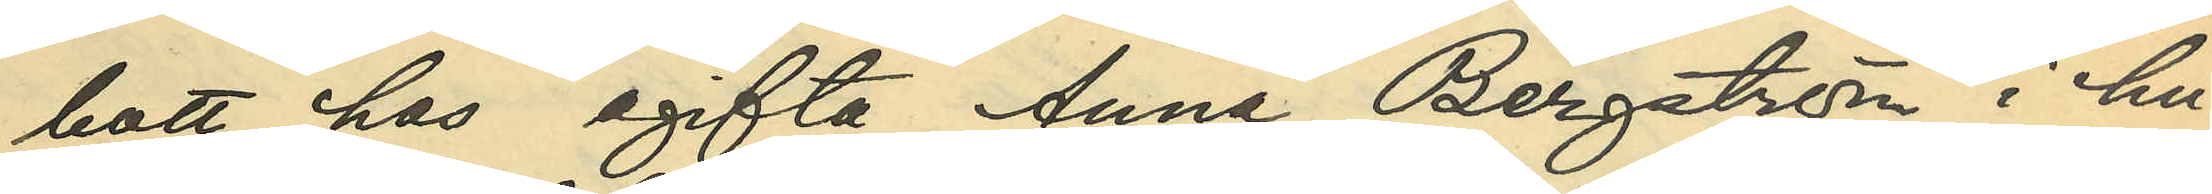bott hos ogifta Anna Bergström i hu¬
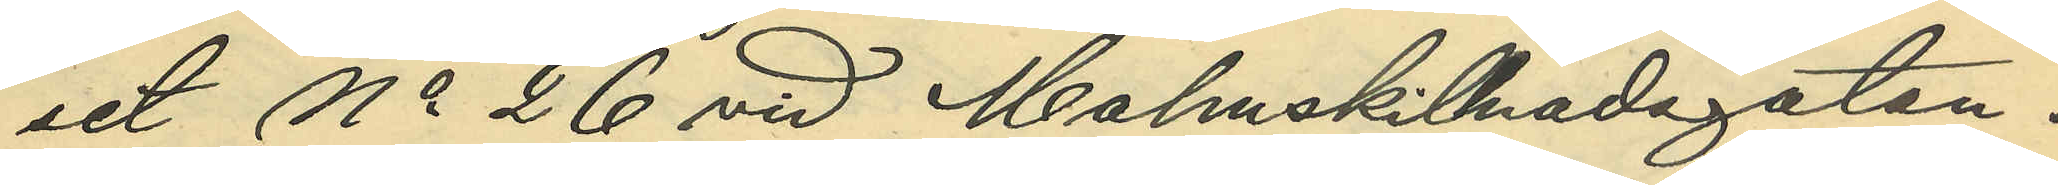set No 26 vid Malmskillnadsgatan.
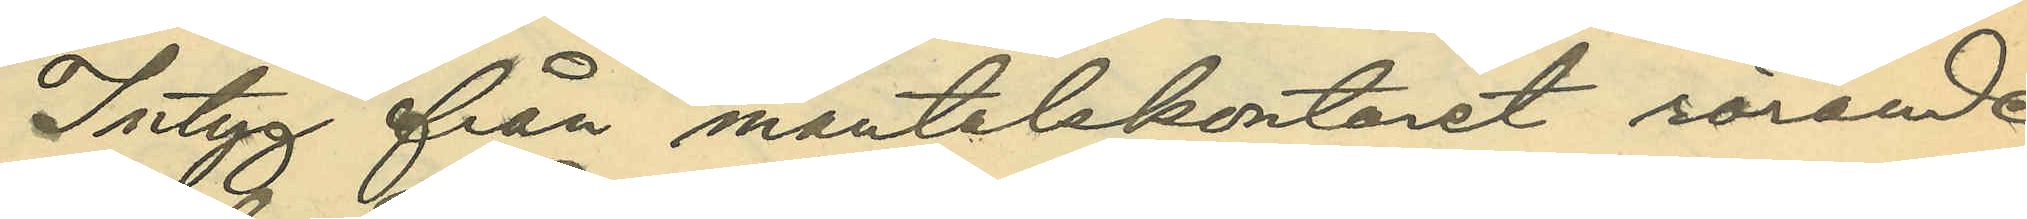Intyg från mantalskontoret rörande
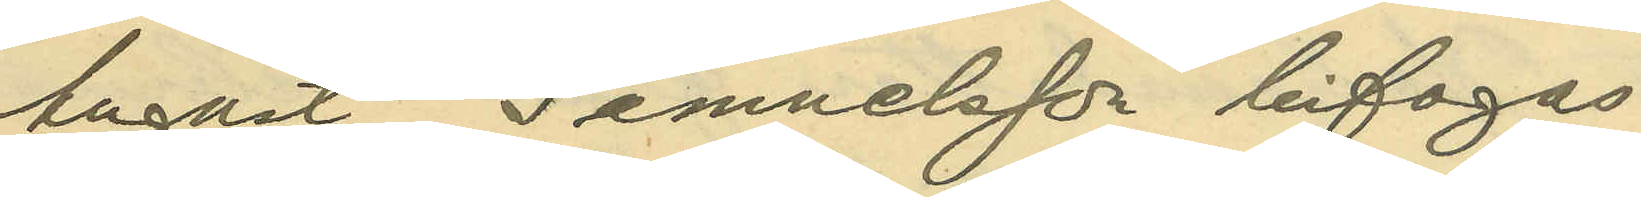August Samuelsson bifogas.
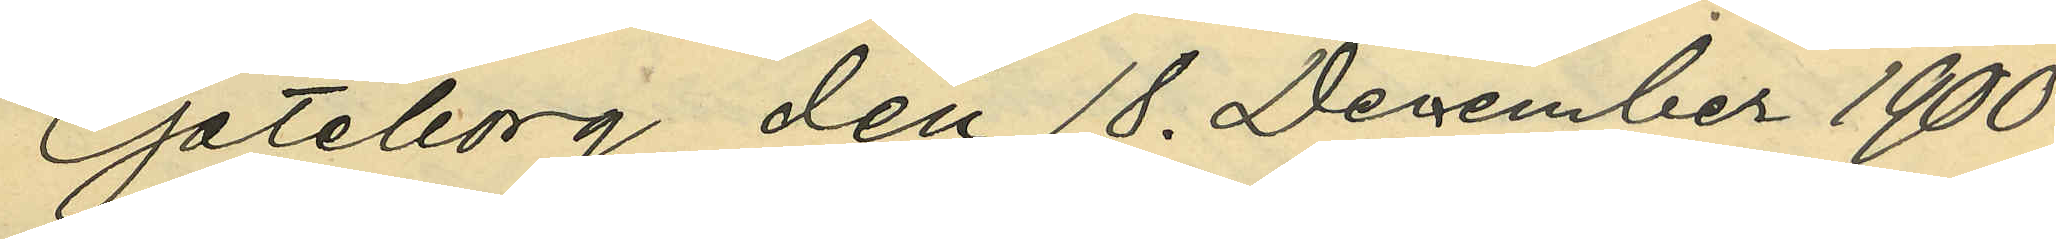Göteborg den 18. December 1900.
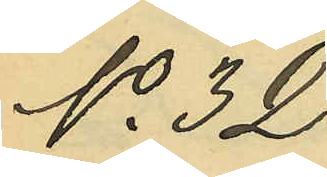No 32.
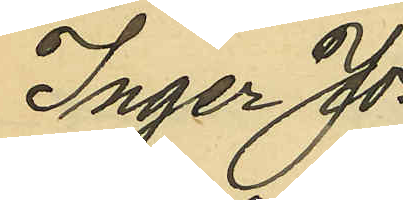Inger Jo¬
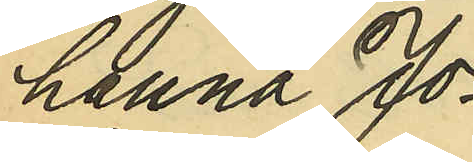hanna Jo¬
